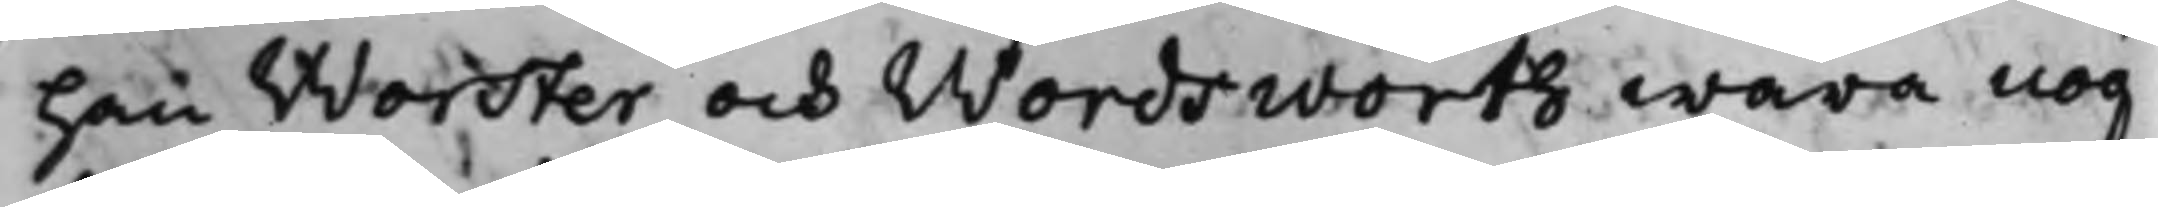han Worster och Wordsworth wara g
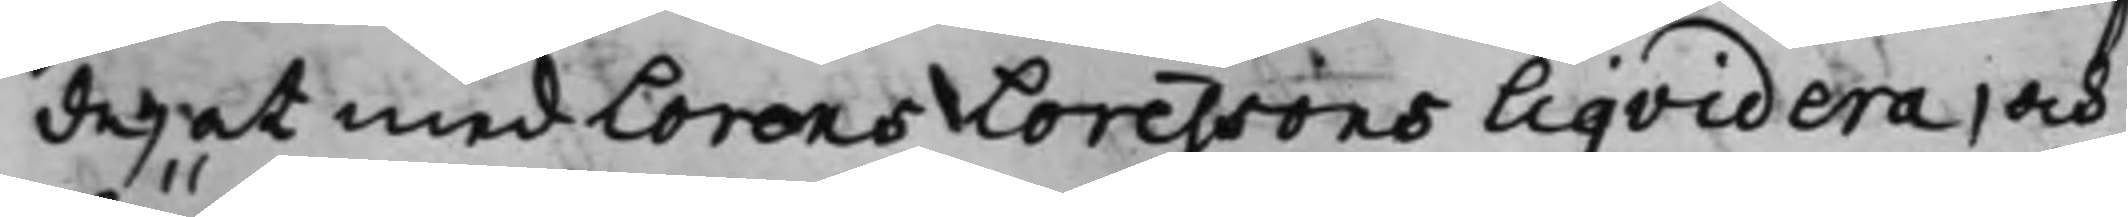de, at med Lorens Lorenssons liqvidera, och
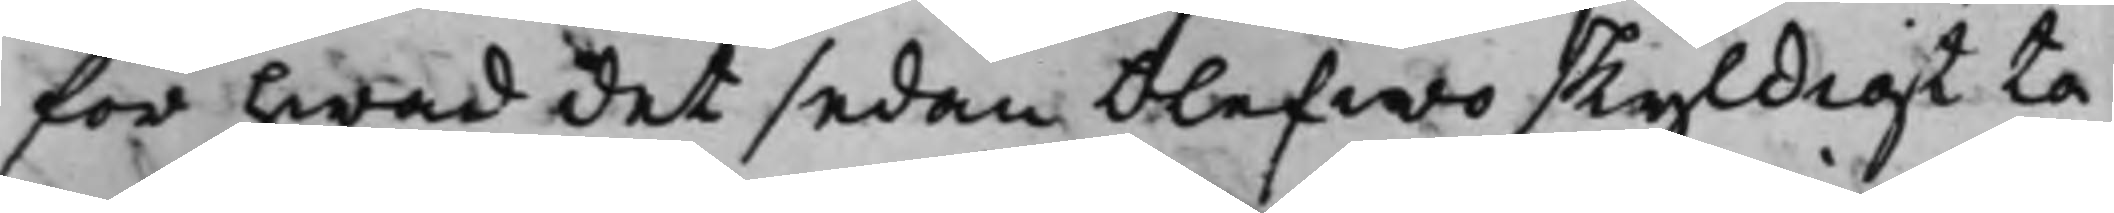för hwad det sedan blefwo skyldigt ta¬
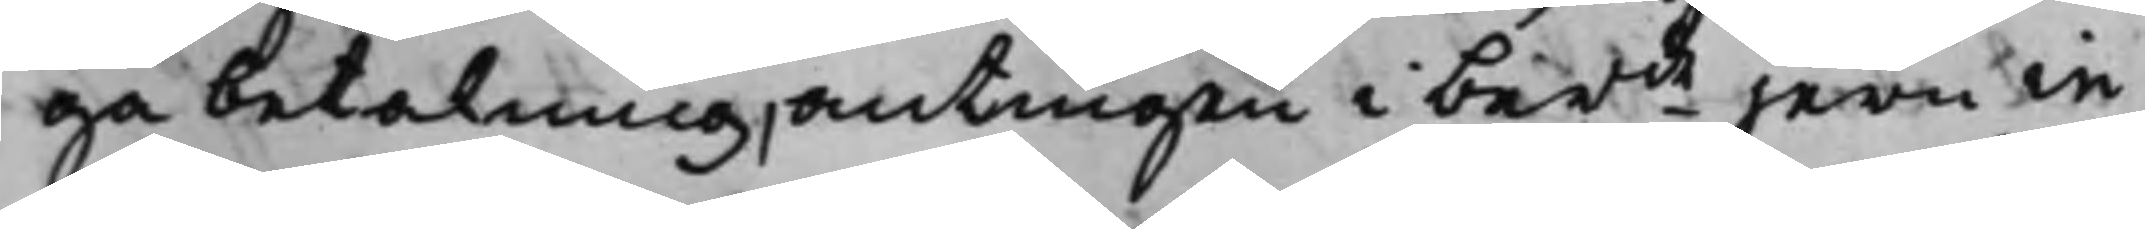ga betalning, antingen i berde jern in
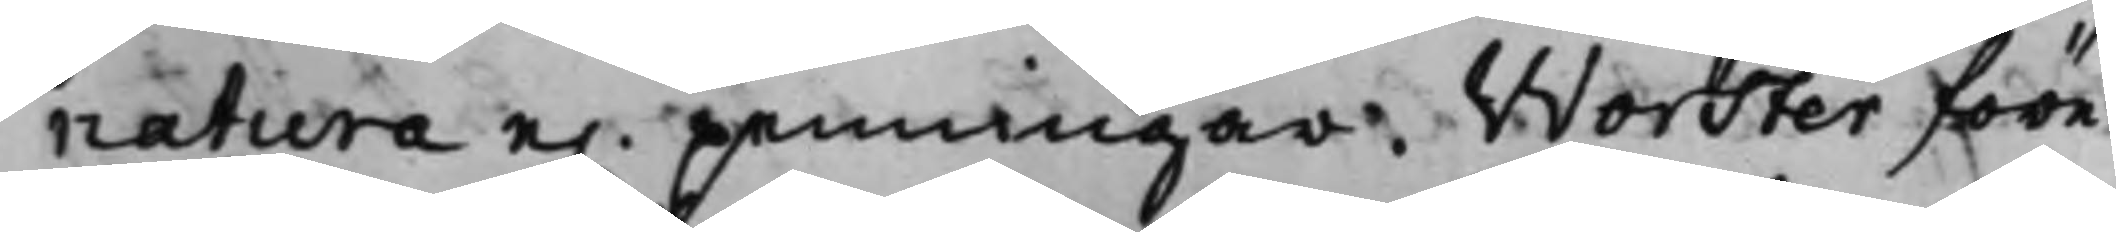natura e. penningar. Worther före¬
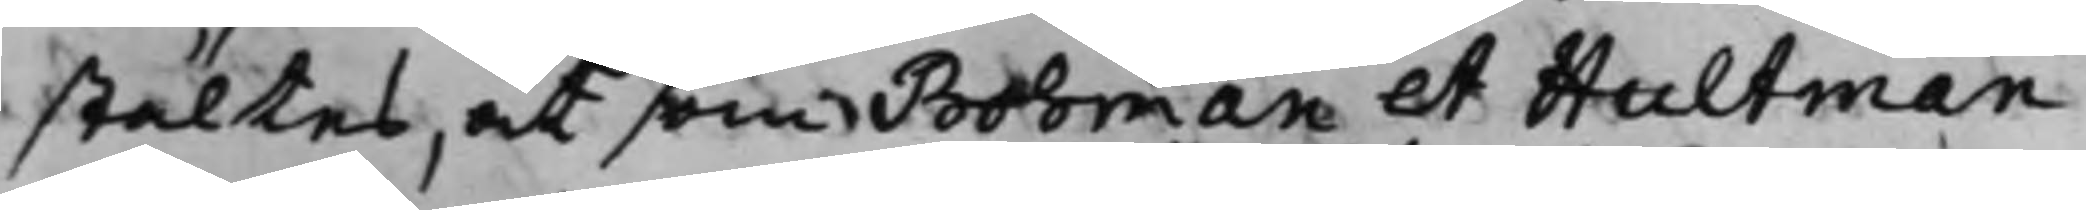stältes, at som, Bohman och Hultman
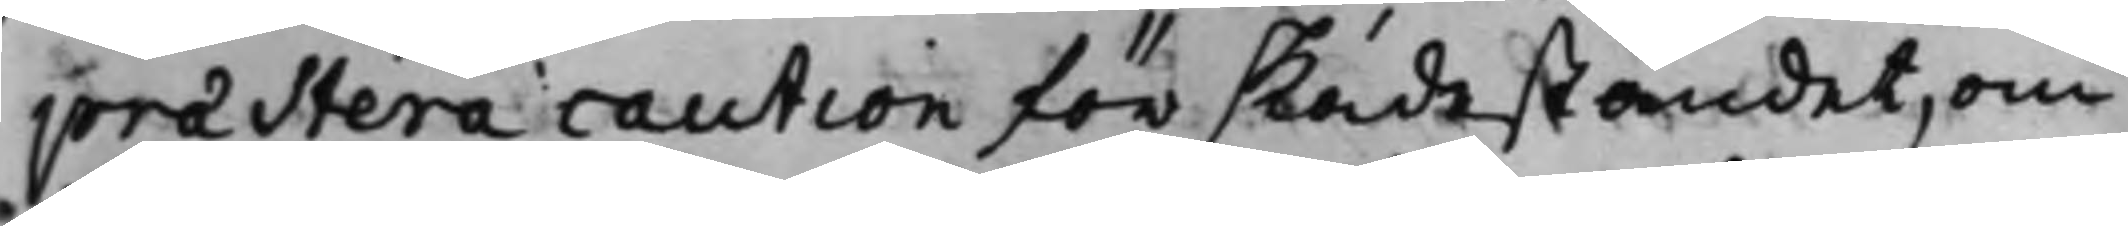præstera caution för skadeståndet, om
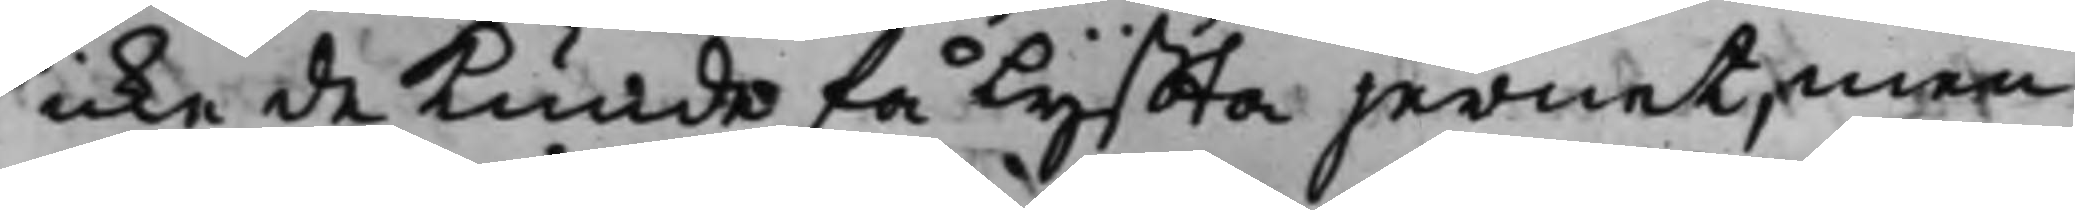icke de kunde få lyffta jernet, men
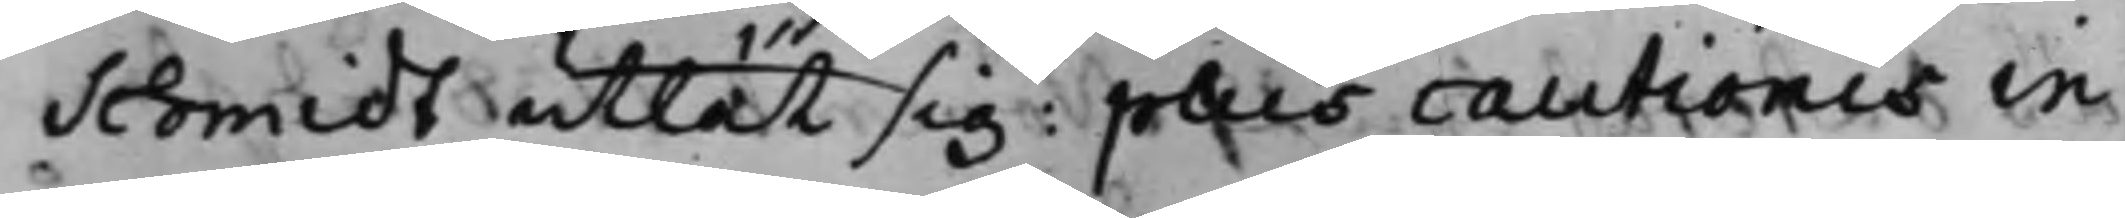Schmidt utlät sig: plus cautionis in
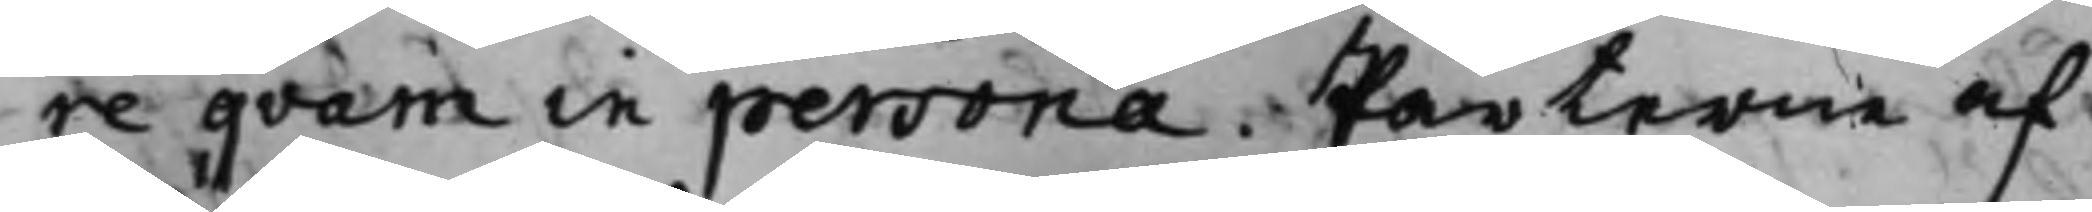re qvam in persona. Parterne af¬
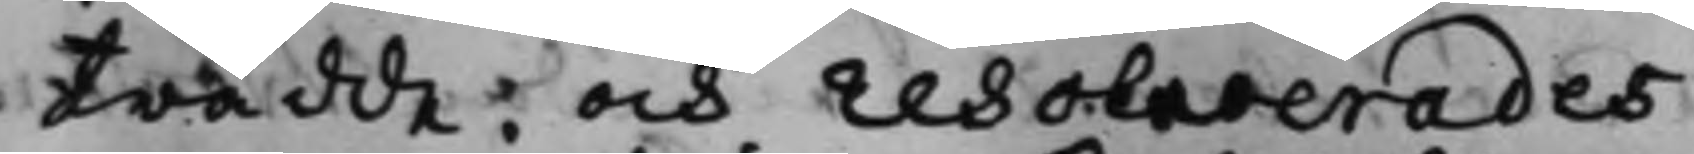trädde; och resolverades
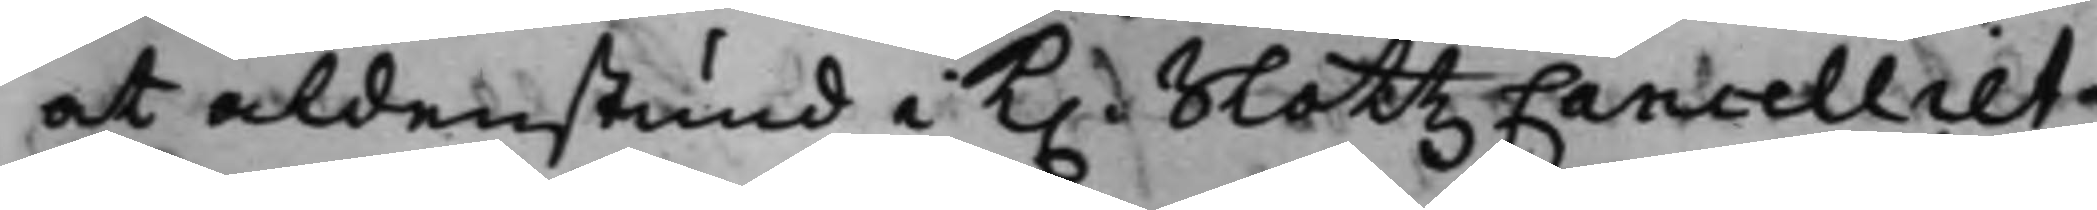at aldenstund i K. SlottzCancelliet
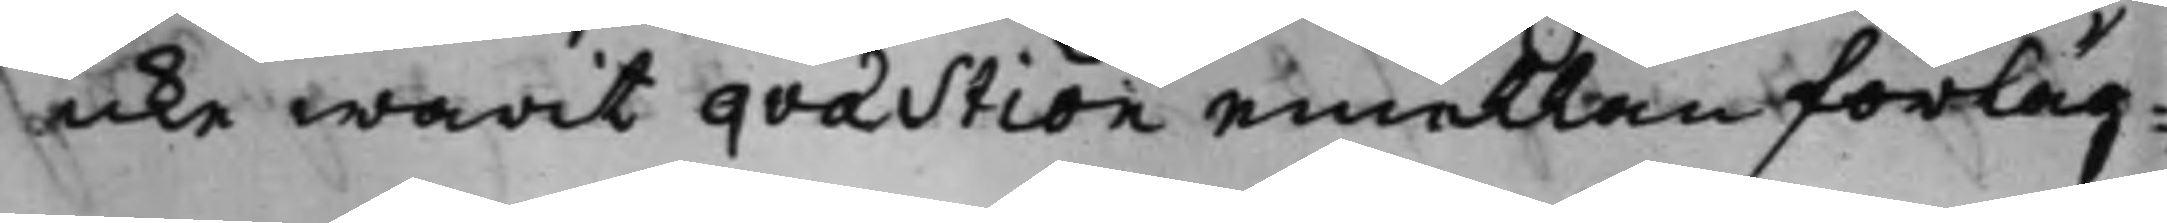icke warit qvæstion emellan förläg¬
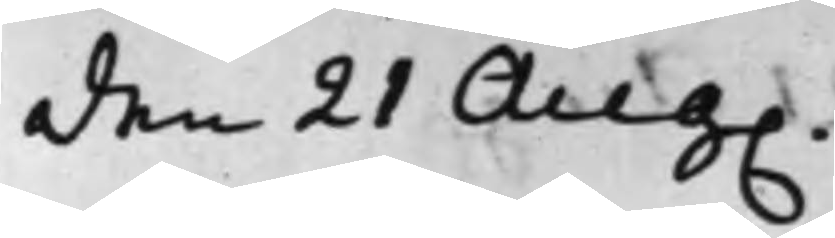den 21 Aug.
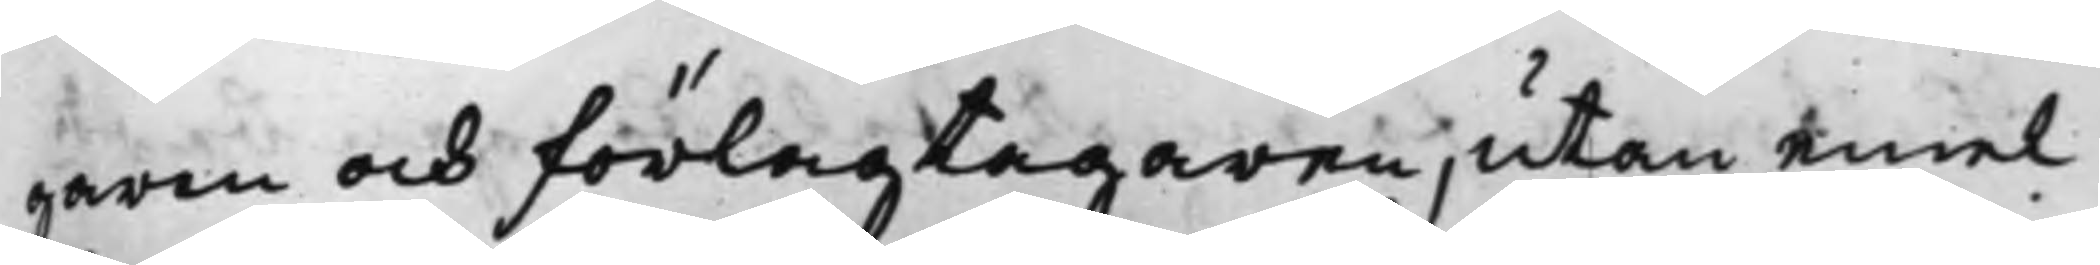garen och förlagtagaren, utan emel
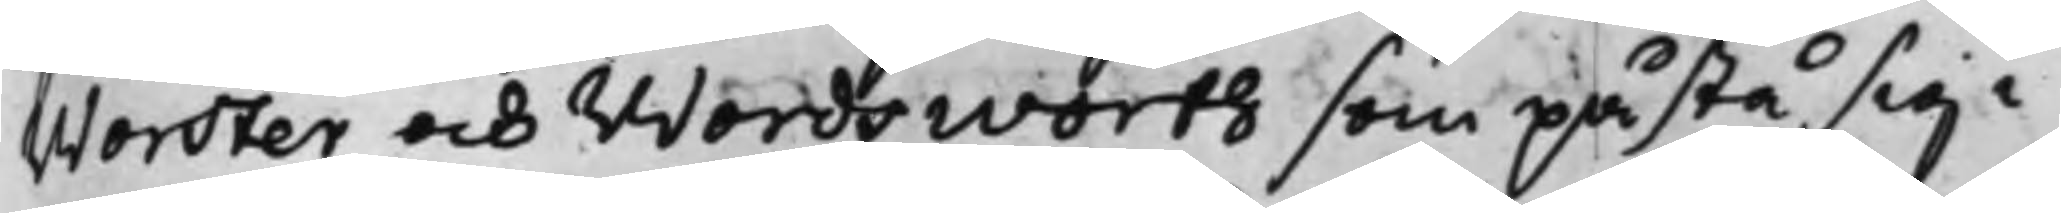Worster och Wordsworth som påstå sig i
